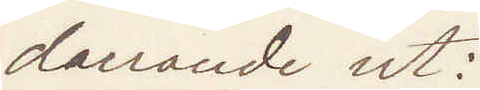darrande ut:
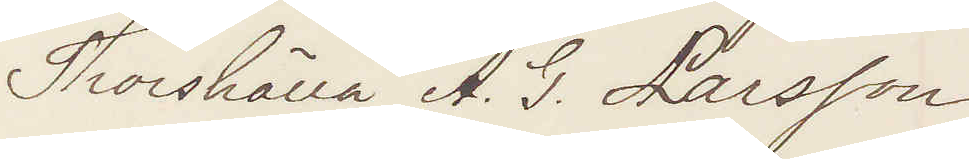Thorshälla A. G. Larsson
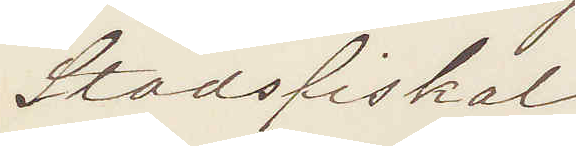Stadsfiskal
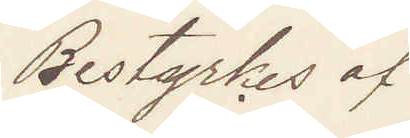Bestyrkes af
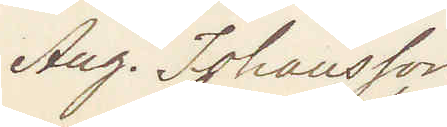Aug. Johansson
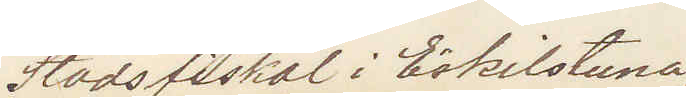Stadsfiskal i Eskilstuna.
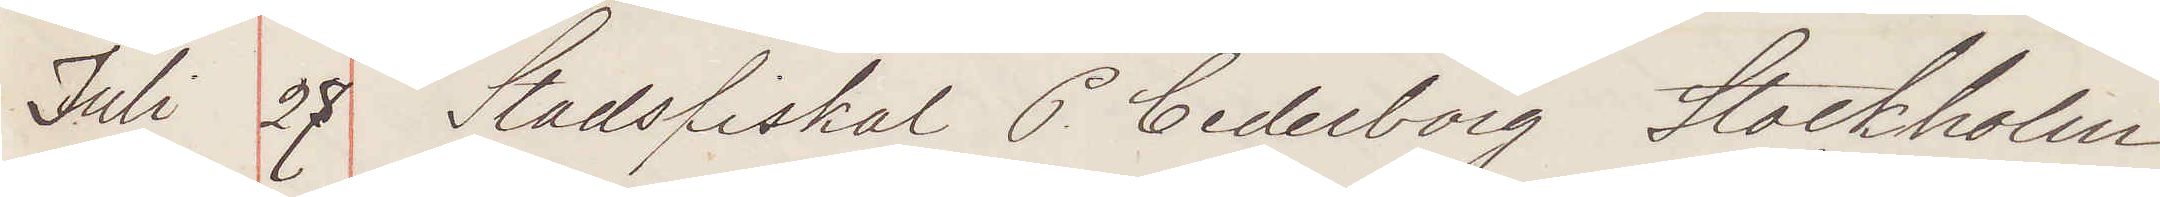Juli 27 Stadsfiskal C Cederborg Stockholm
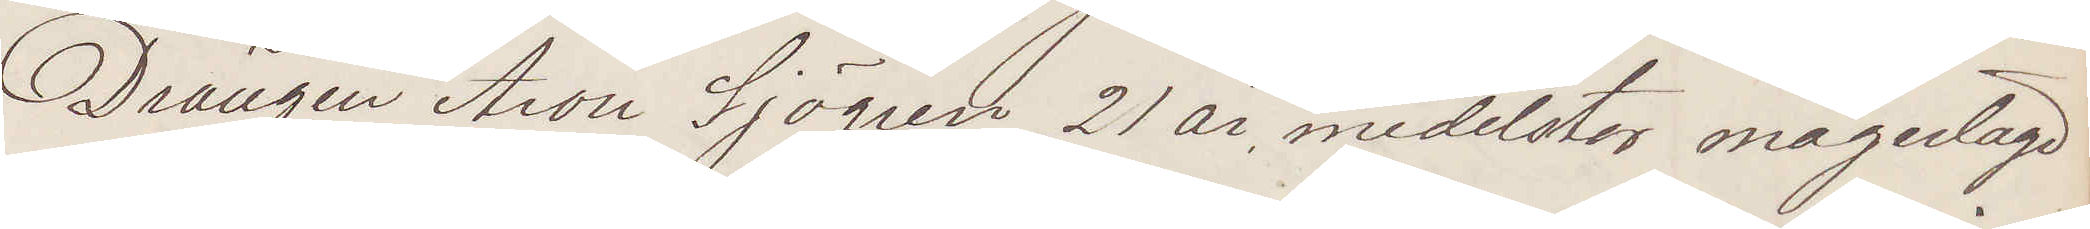Drängen Aron Sjögren 21 år, medelstor magerlagd
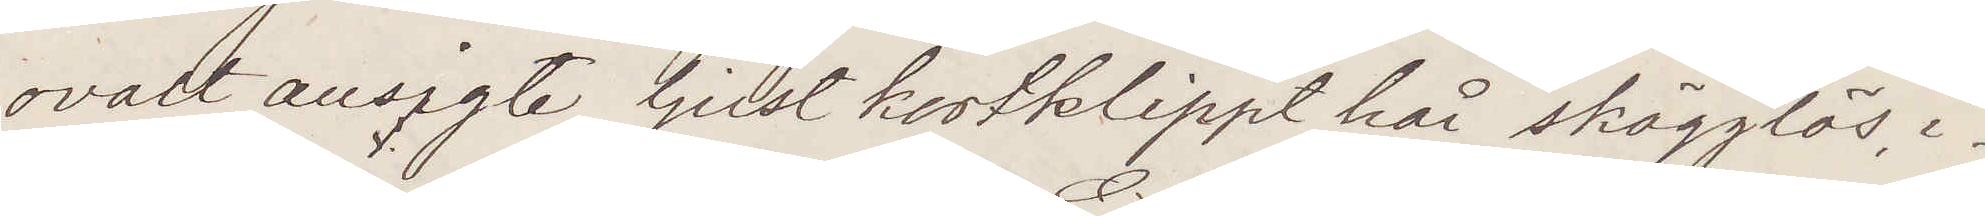ovalt ansigte, ljust kortklippt hår, skägglös, i¬
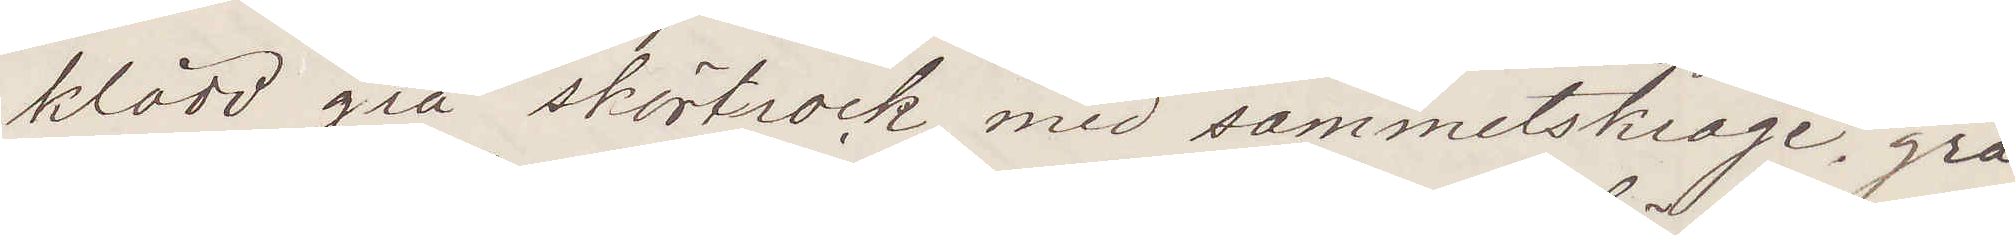klädd grå skörtrock med sammetskrage, grå
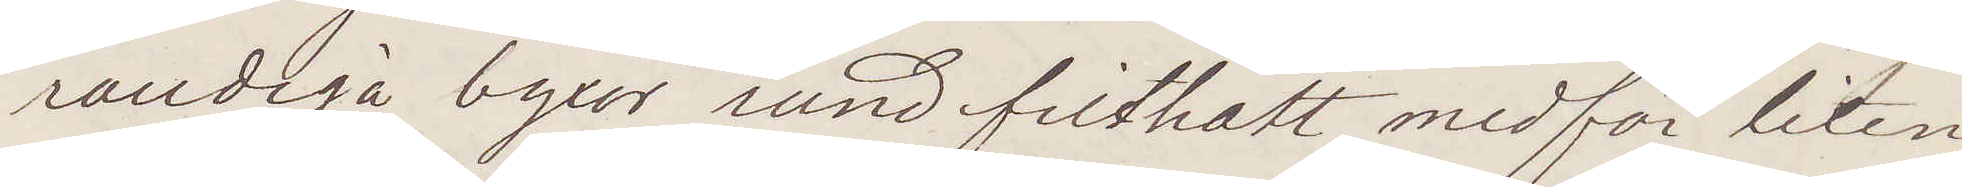randiga byxor rund filthatt, medför liten
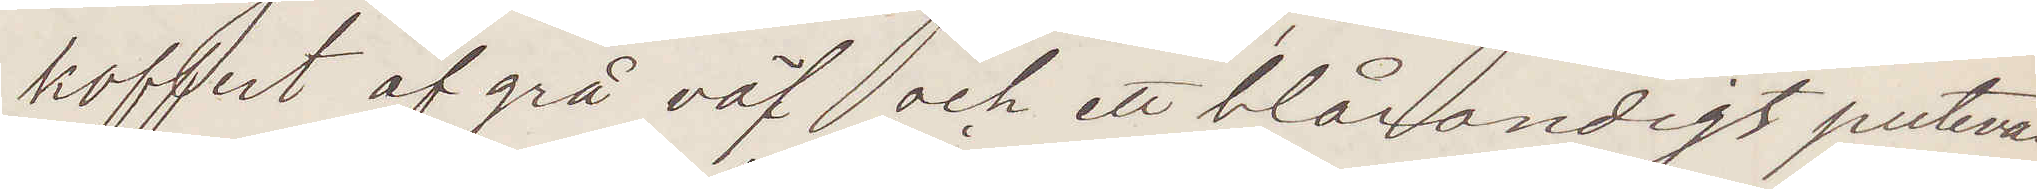koffert af grå väf och ett blårandigt putevar
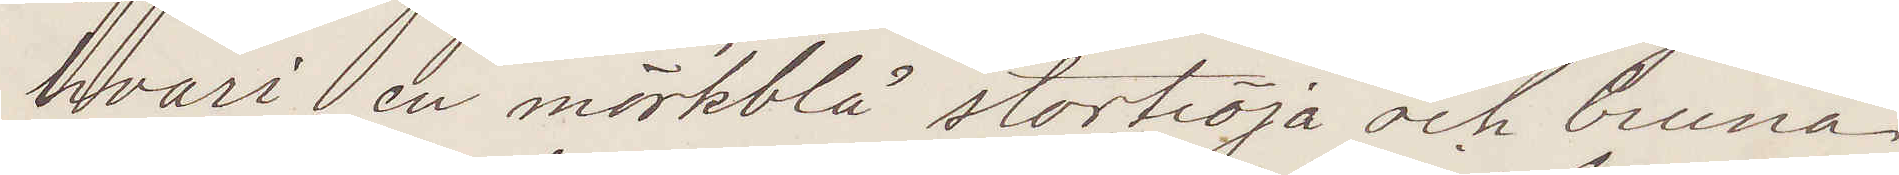hvari en mörkblå stortröja och bruna
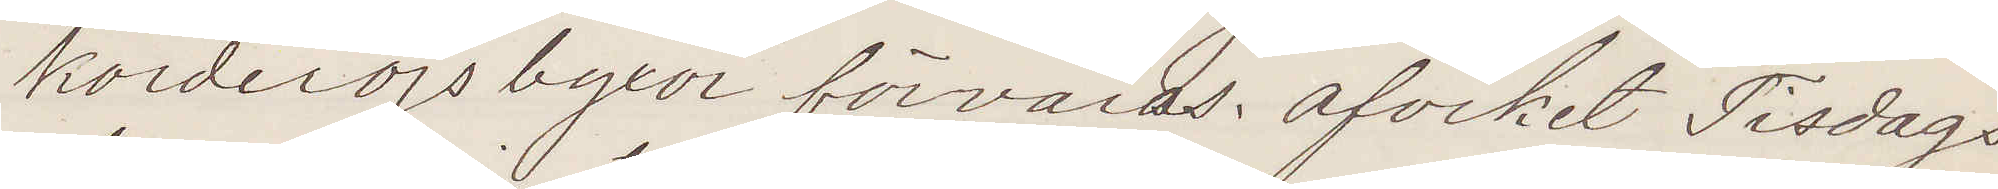korderöjsbyxor förvaras. Afvikit Tisdags
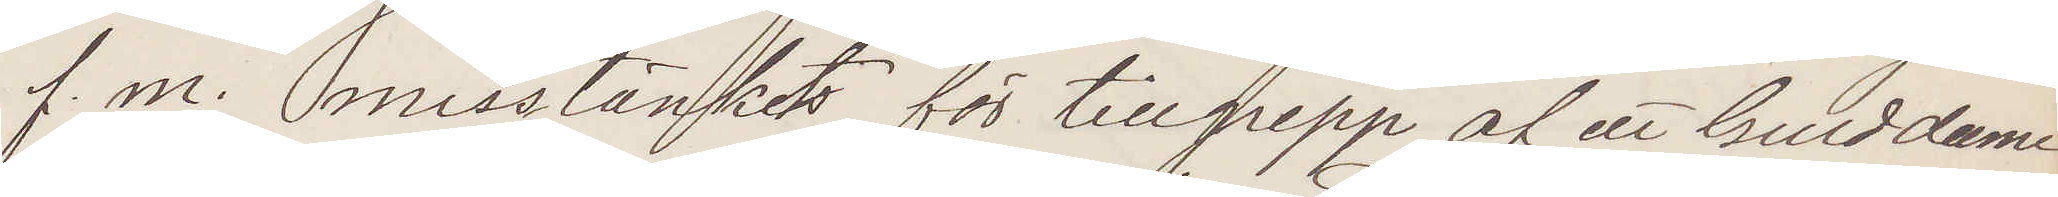f. m. misstänkets för tillgrepp af ett Gulddame¬
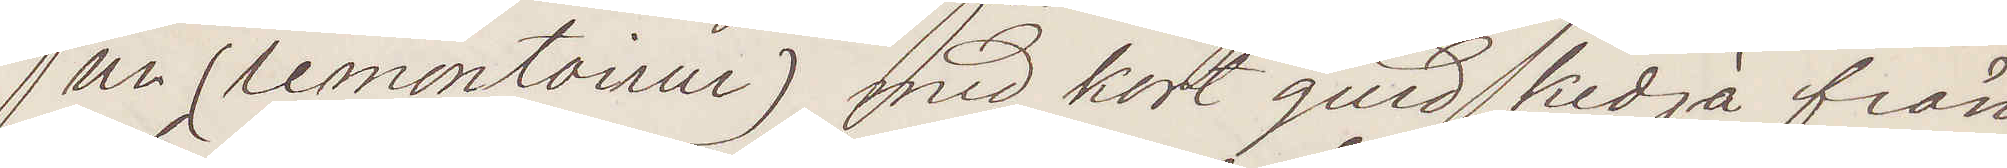ur (remontoirur) med kort guldkedja från
